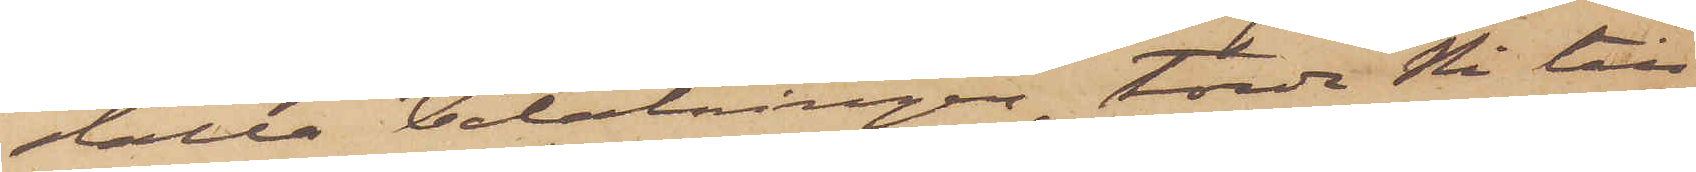ställa betalningen, torde Ni till
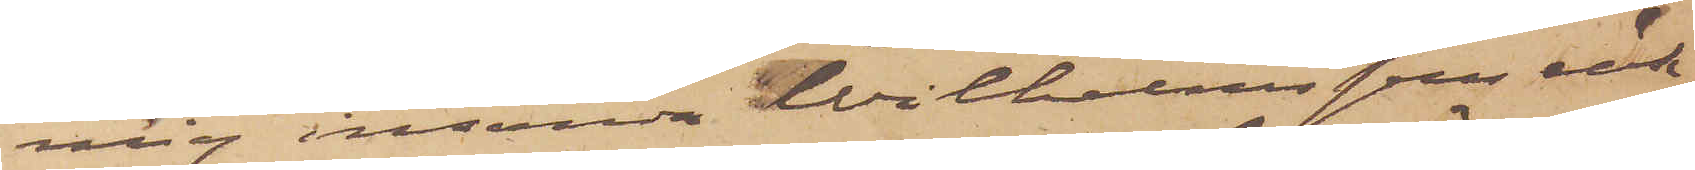mig insända Wilhelmssons räk¬
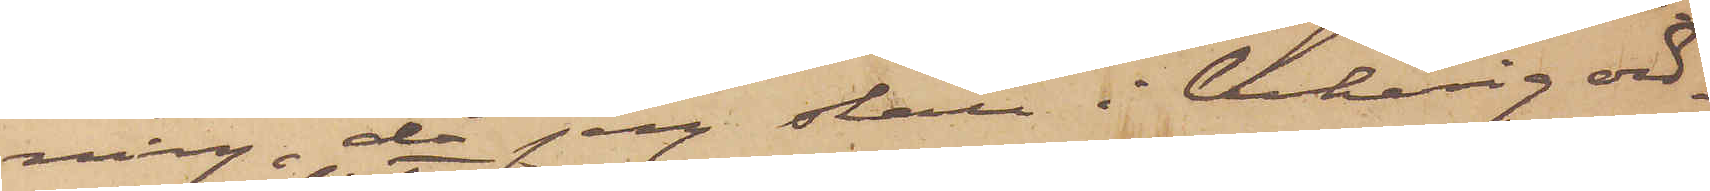ning, då jag skall i behörig ord¬
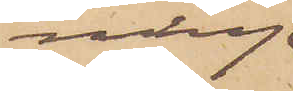ning
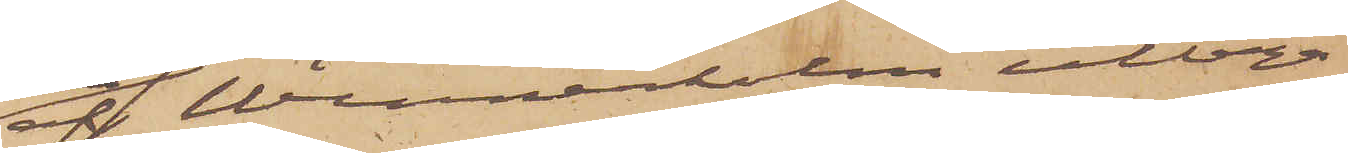af Wennerholm uttaga
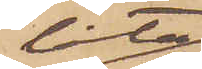låta
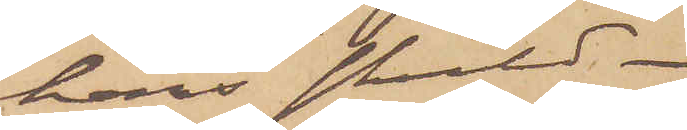hans skuld.
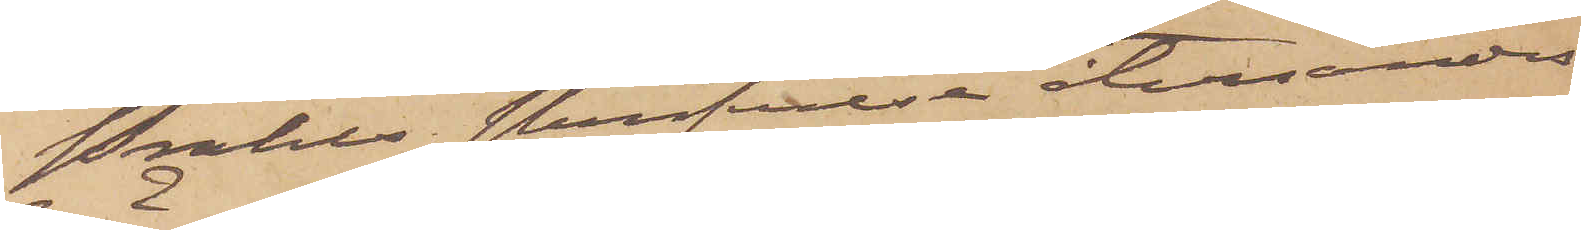Prahls skrifvelse återsändes
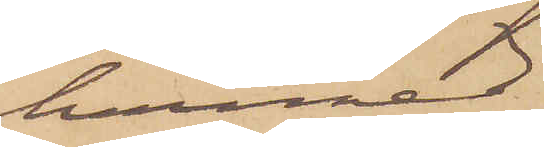härmed.
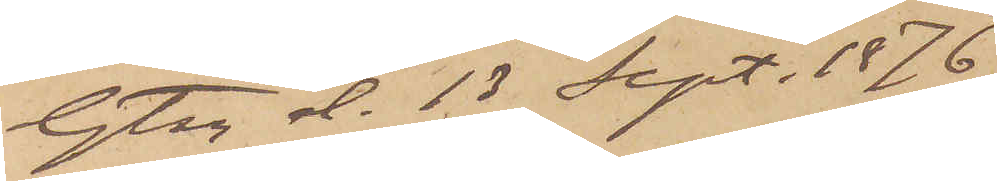Gtbg d. 13 Sept. 1876.
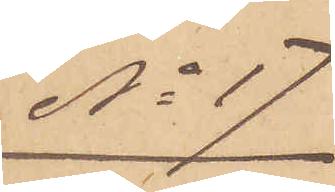No 17
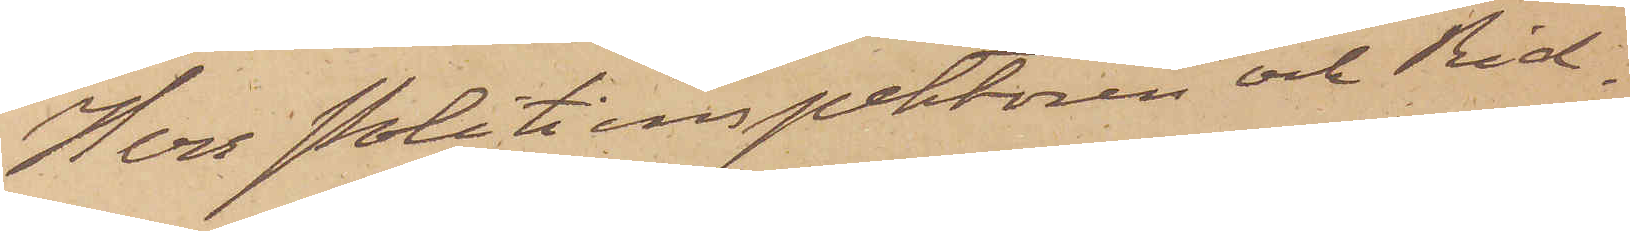Herr Politiinspektören och Rid¬
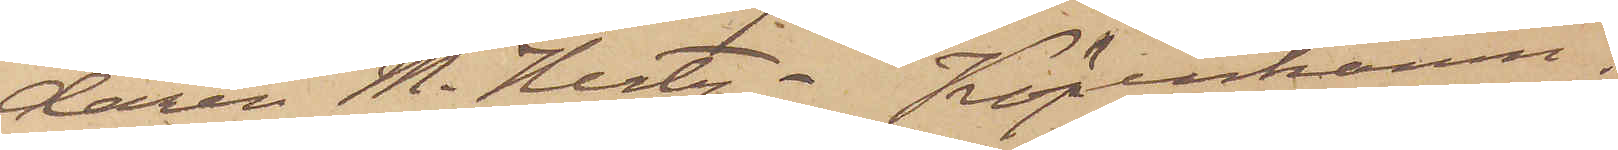daren M. Hertz. Köpenhamn,
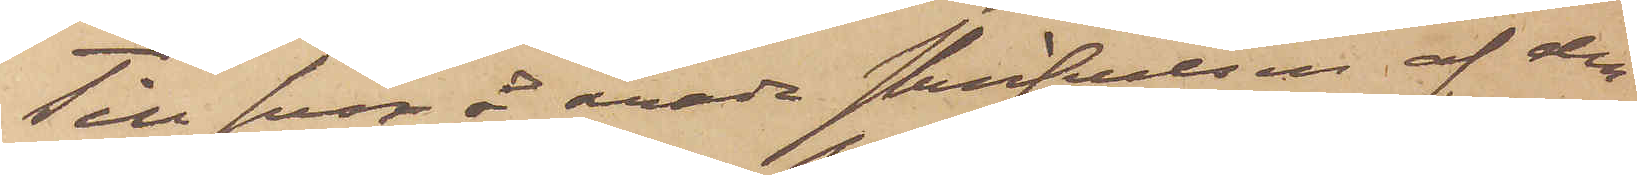Till svar å ärade skrifvelsen af den
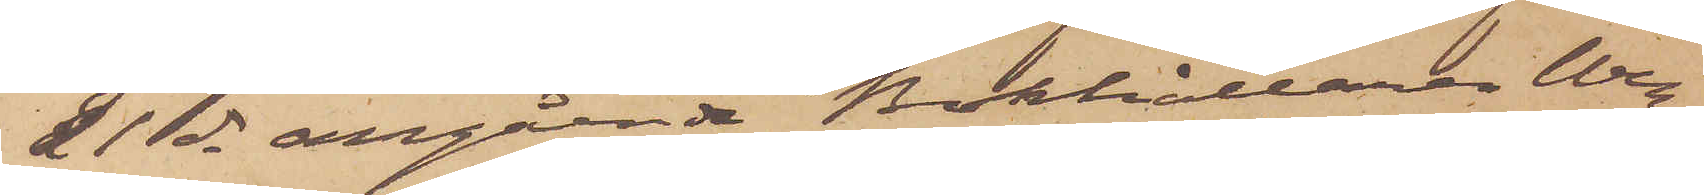21 ds angående Bokhållaren Wes¬
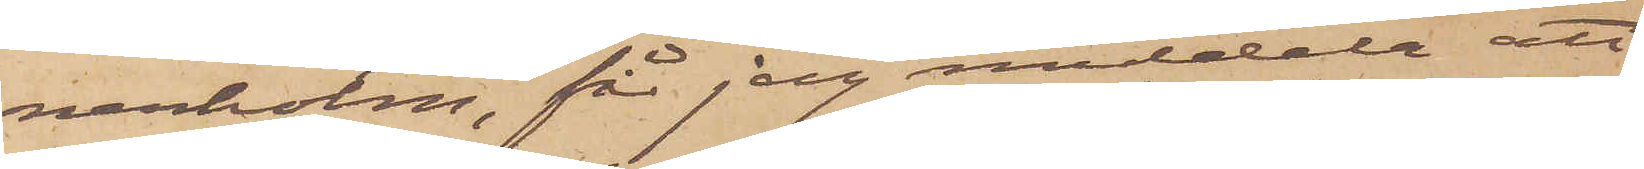nerholm, för jag meddela att
